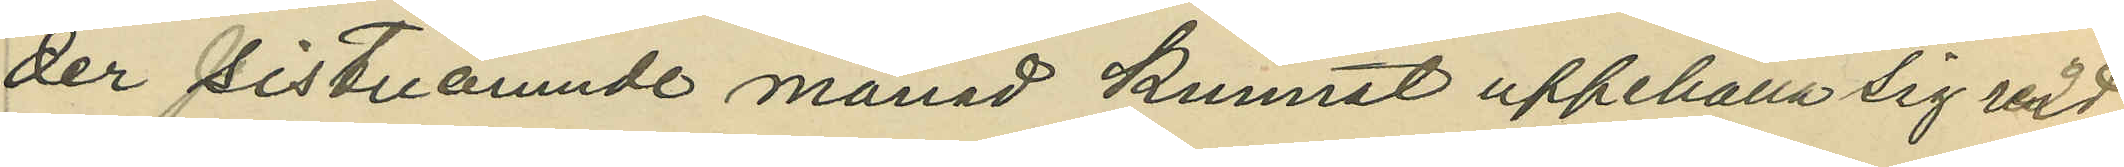der sistnämnde månad kunnat uppehålla sig vid
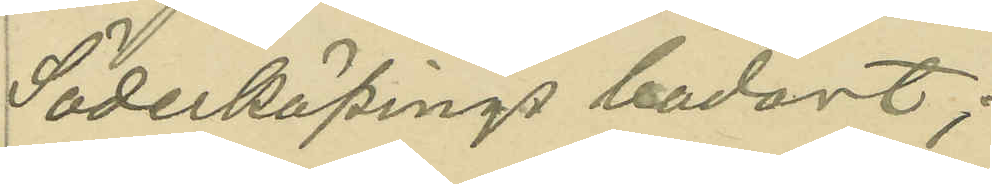Söderköpings badort;
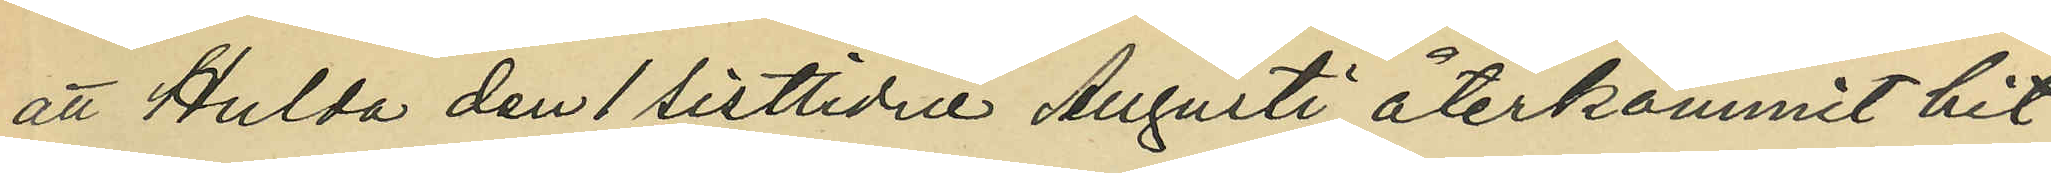att Hulda den 1 sistlidne Augusti återkommit hit
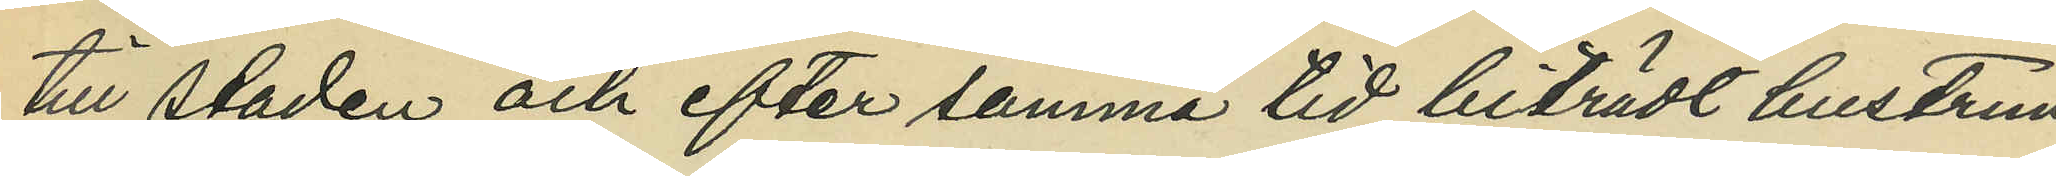till staden och efter samma tid biträdt hustrun
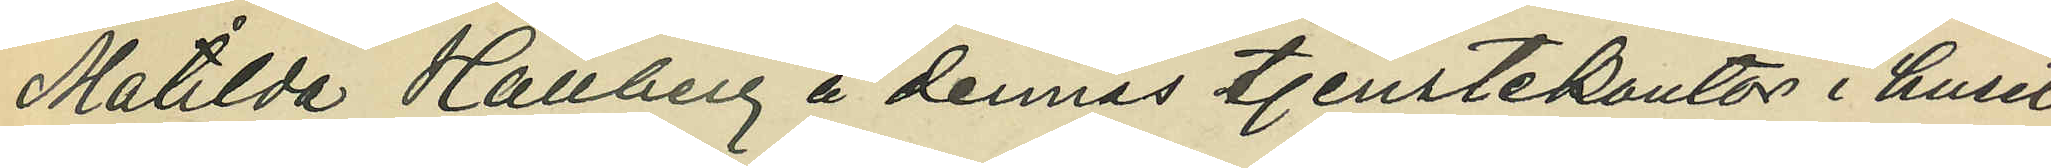Matilda Hallberg å dennes tjenstekontor i huset
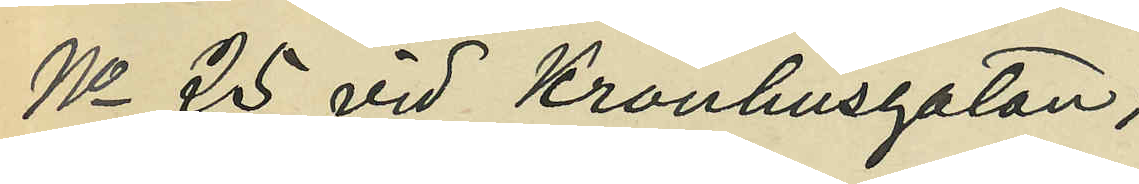No 25 vid Kronhusgatan;
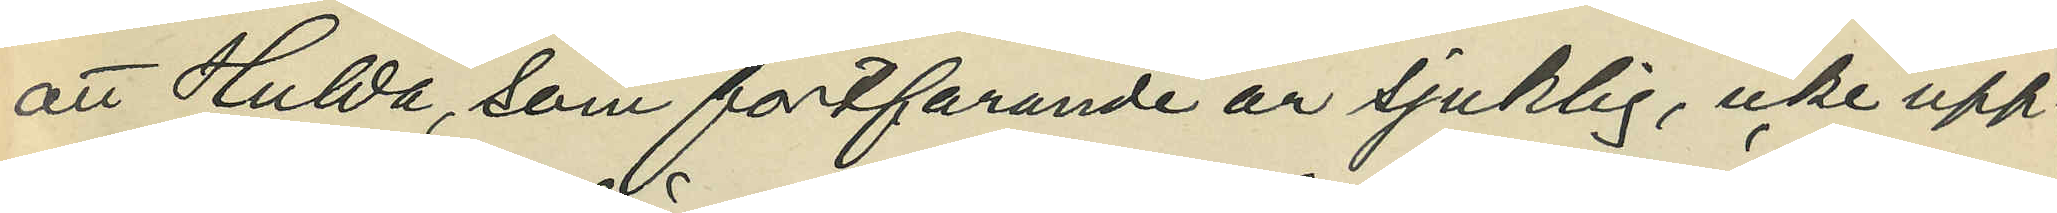att Hulda, som fortfarande är sjuklig, icke upp¬
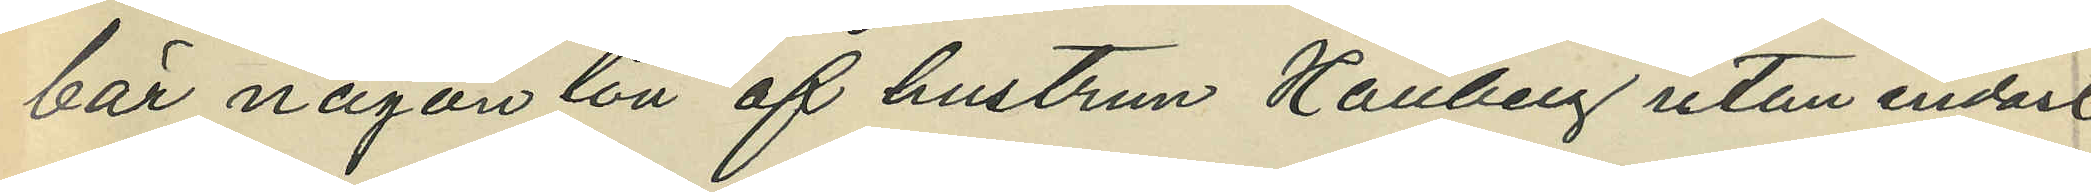bär någon lön af hustrun Hallberg utan enbart
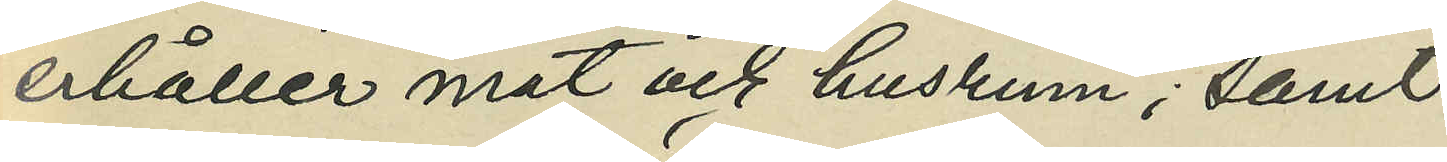erhåller mat och husrum; samt
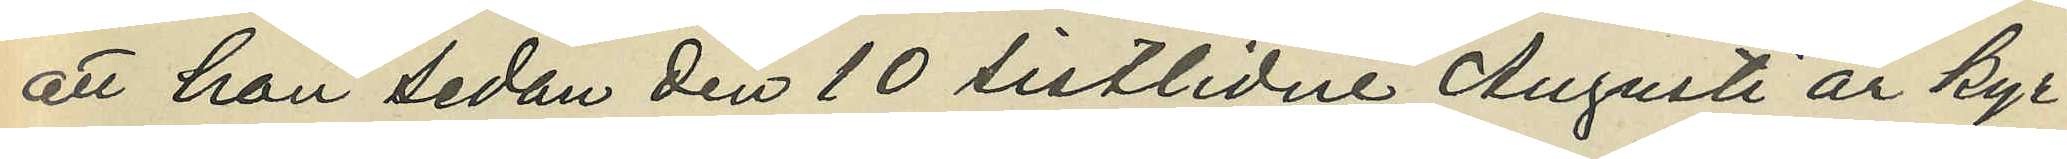att hon sedan den 10 sistlidne Augusti är kyr¬
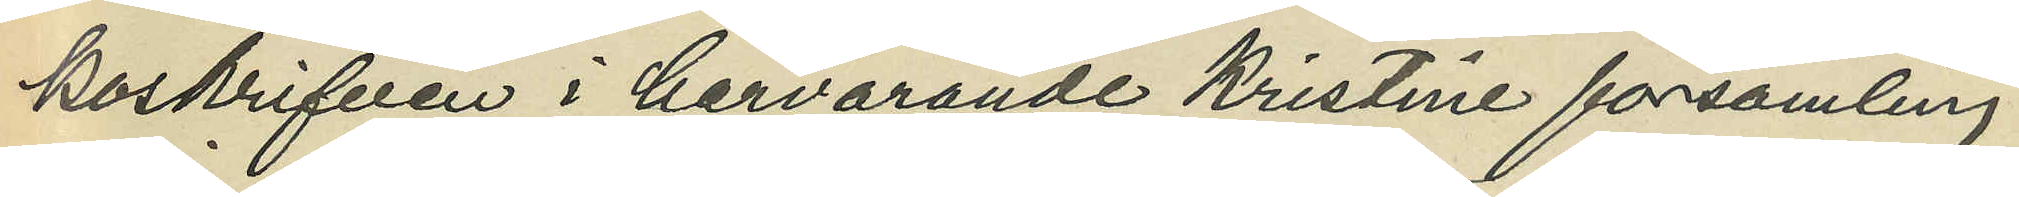koskrifven i härvarande Kristine församling.
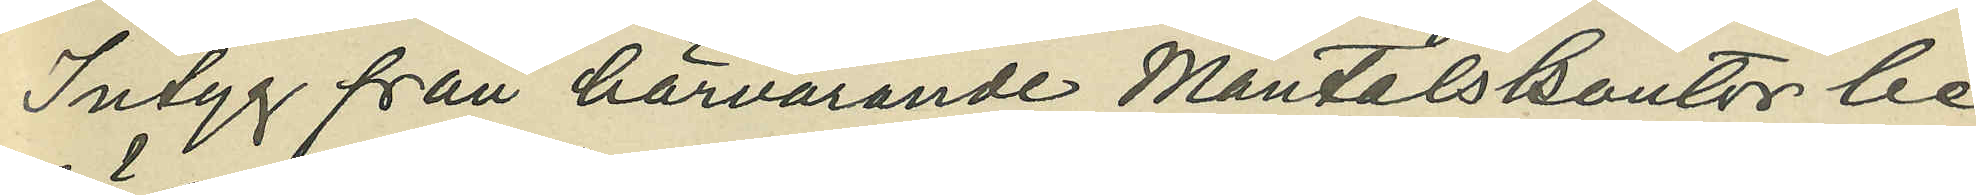Intyg från härvarande Mantalskontor be¬
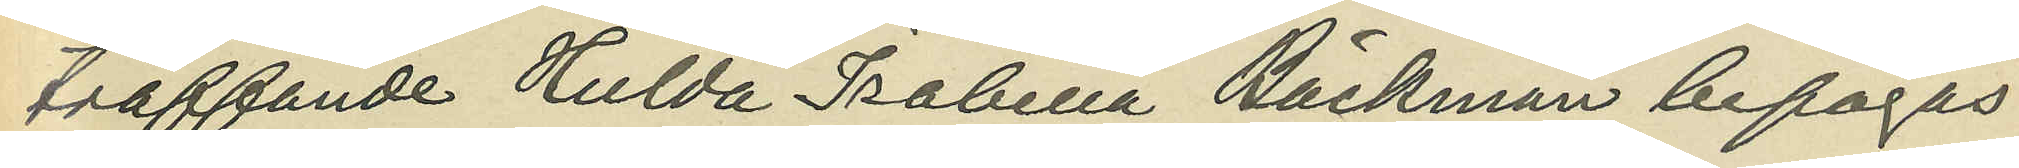träffande Hulda Isabella Bäckman bifogas.
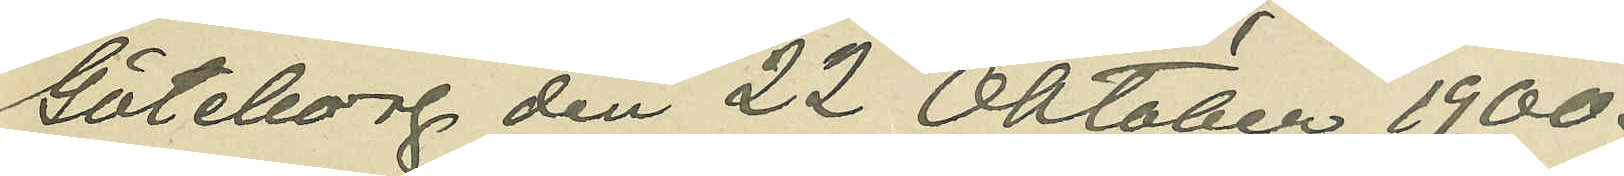Göteborg den 22 Oktober 1900.
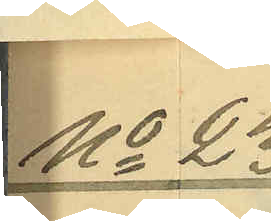No 23
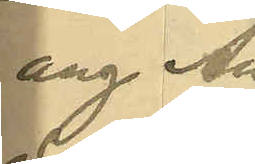ang. An¬
